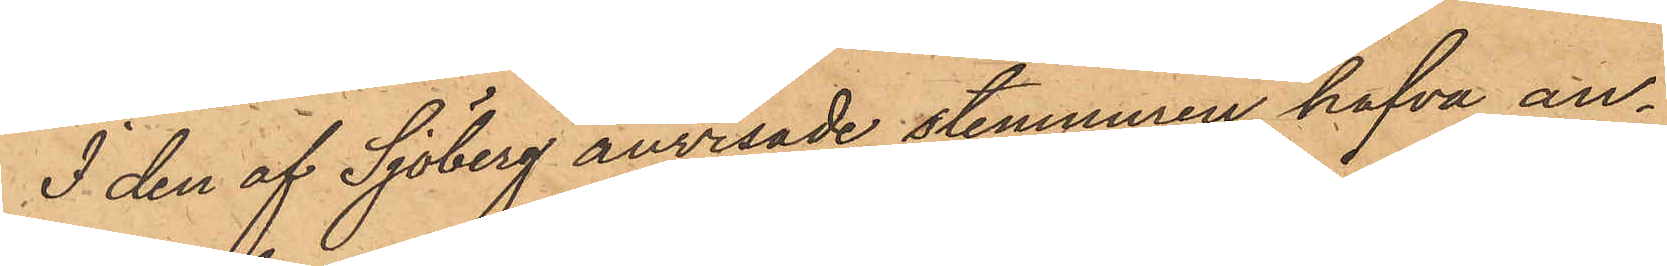I den af Sjöberg anvisade stenmuren hafva an¬
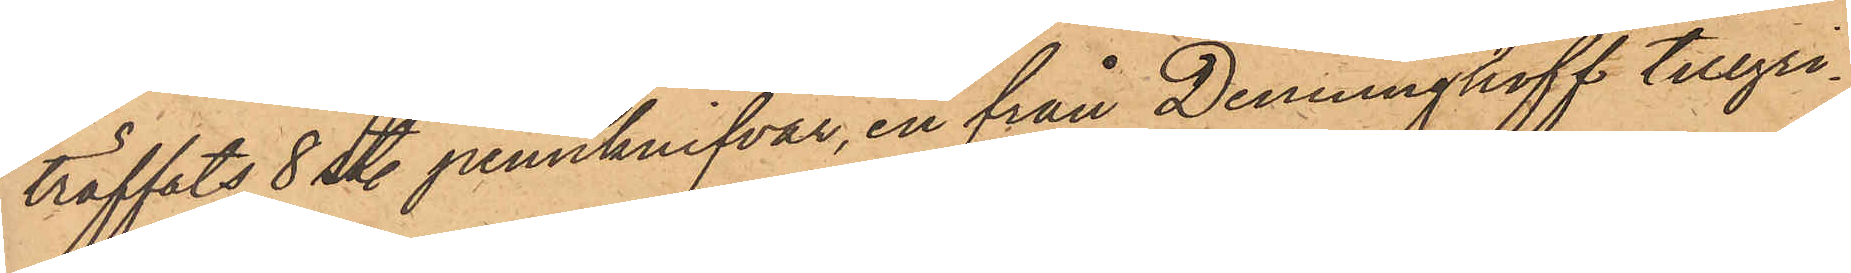träffats 8 st. pennknifvar, en från Denninghoff tillgri¬
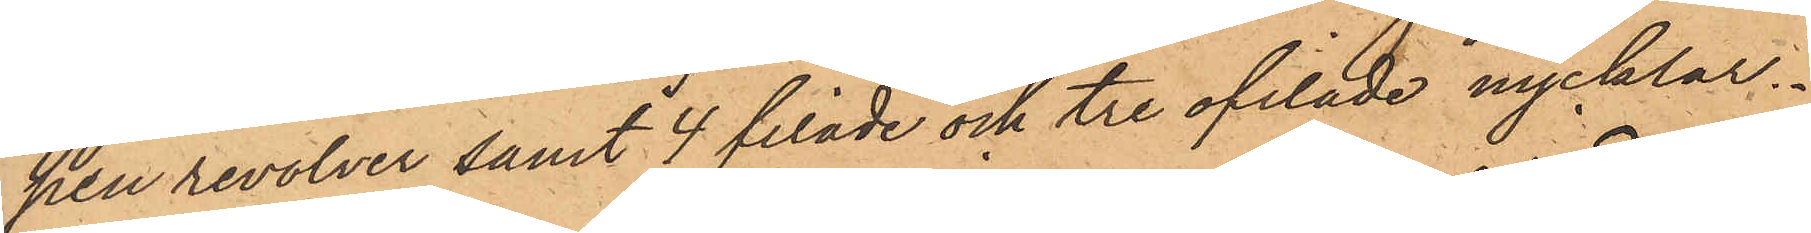pen revolver samt 4 filade och tre ofilade nycklar.
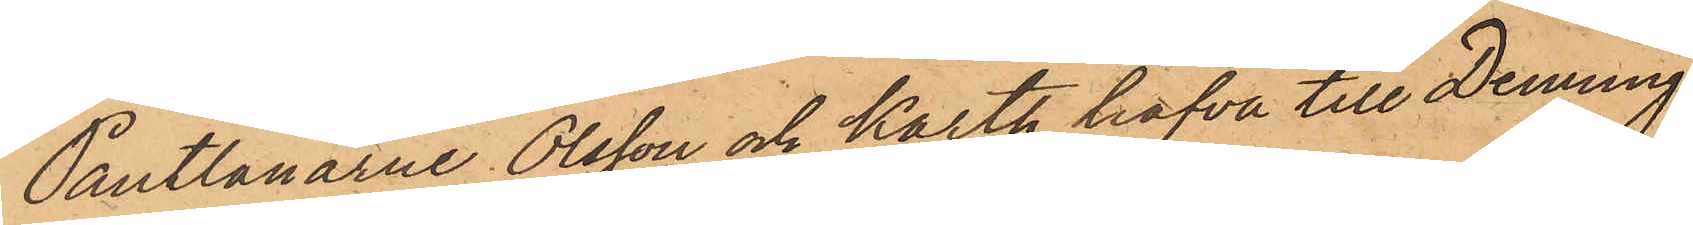Pantlånarne Olsson och Karth hafva till Denning¬
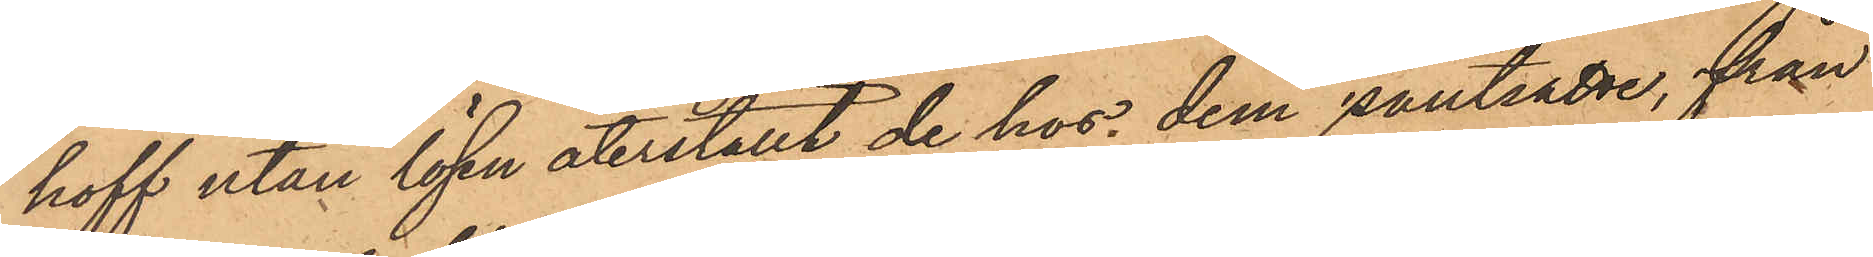hoff utan lösen återställt de hos dem pantsatte, från
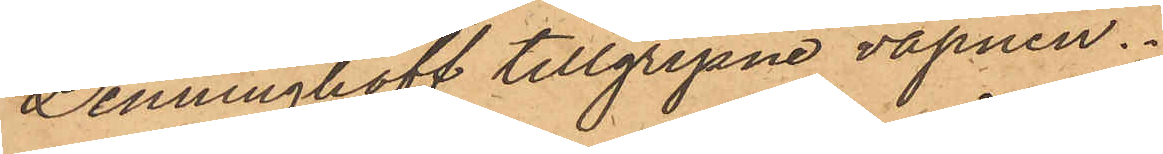Denninghoff tillgripne vapnen.
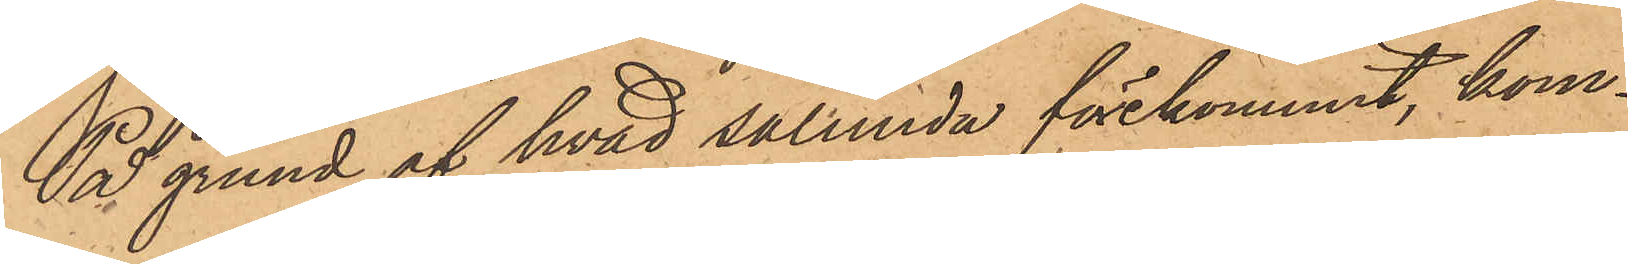På grund af hvad sålunda förekommit, kom¬
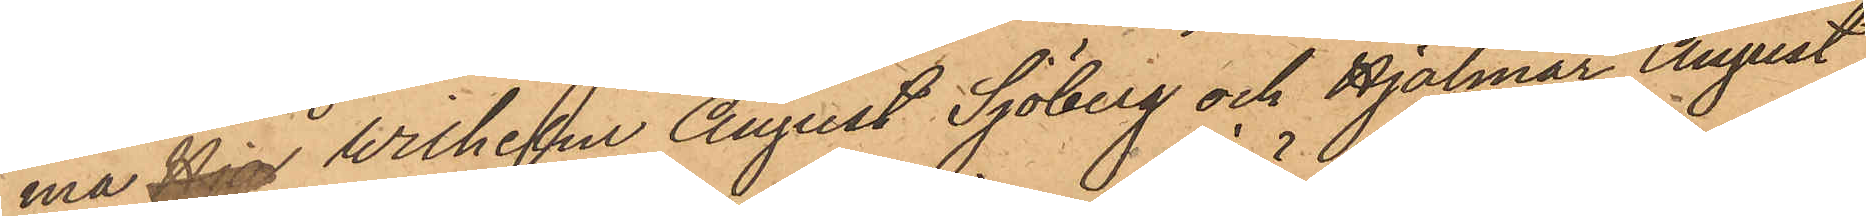ma Djo Wilhelm August Sjöberg och Hjalmar August
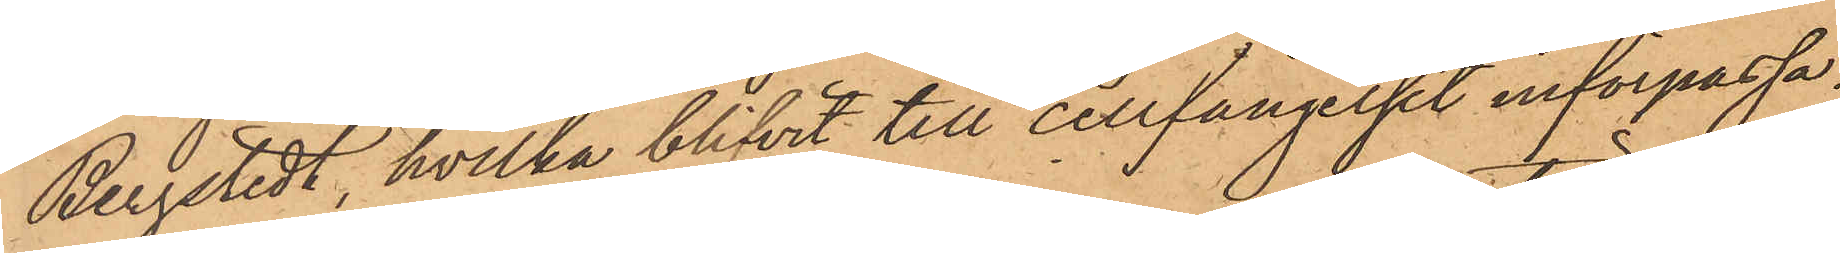Bergstedt, hvilka blifvit till cellfängelset införpassa¬
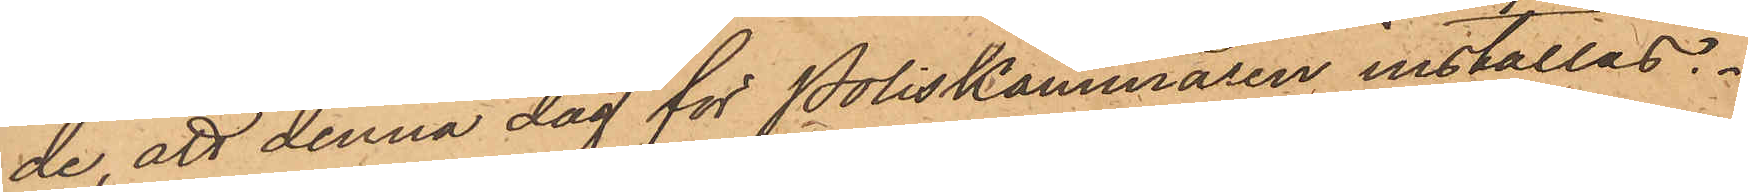de, att denna dag för Poliskammaren inställas.
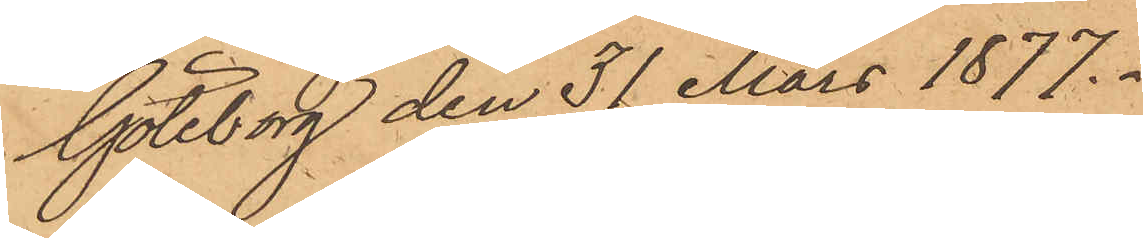Göteborg den 31 Mars 1877.
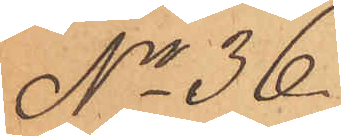No 36
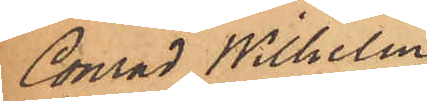Conrad Wilhelm
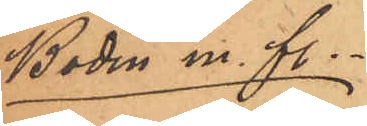Bodin m. fl.
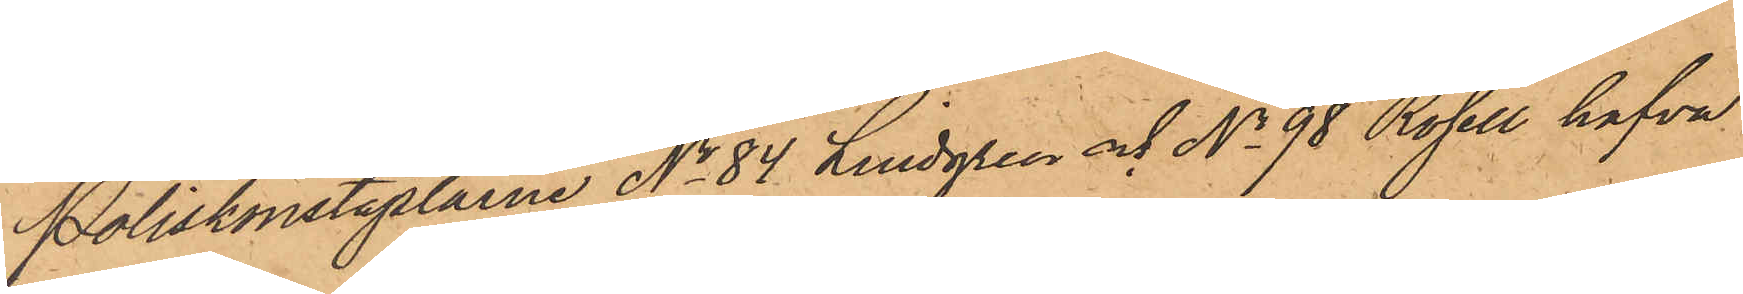Poliskonstaplarne No 84 Lindgren och No 98 Rosell hafva
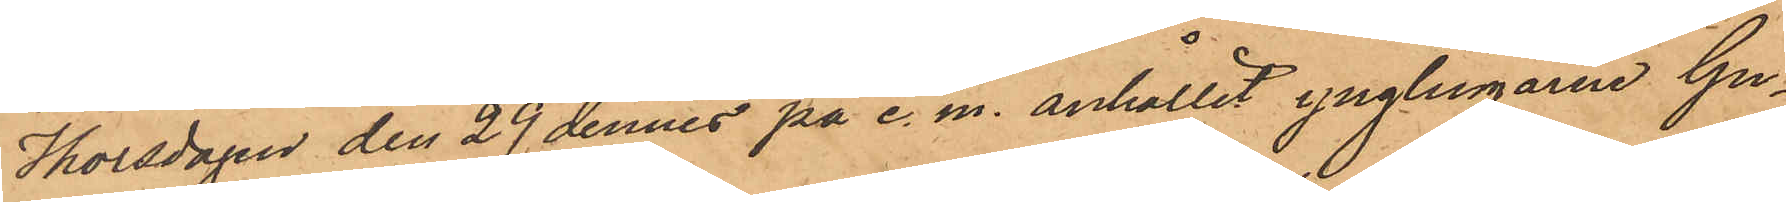Thorsdagen den 29 dennes på e. m. anhållit ynglingarne Gu¬
